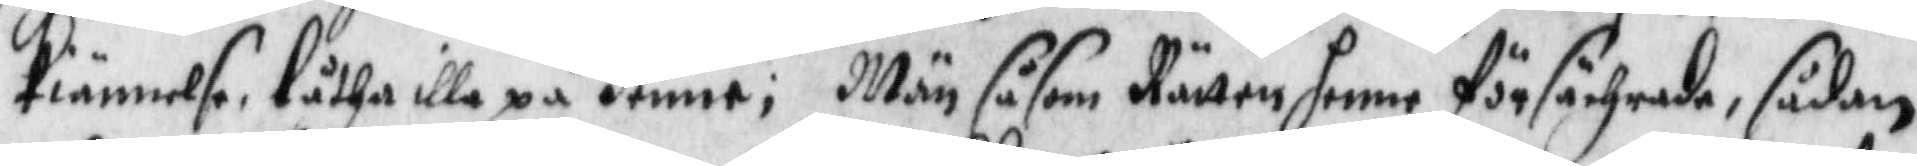kiännelse låtha illa på henne; Män såsom Rätten henne försächrade, sådan
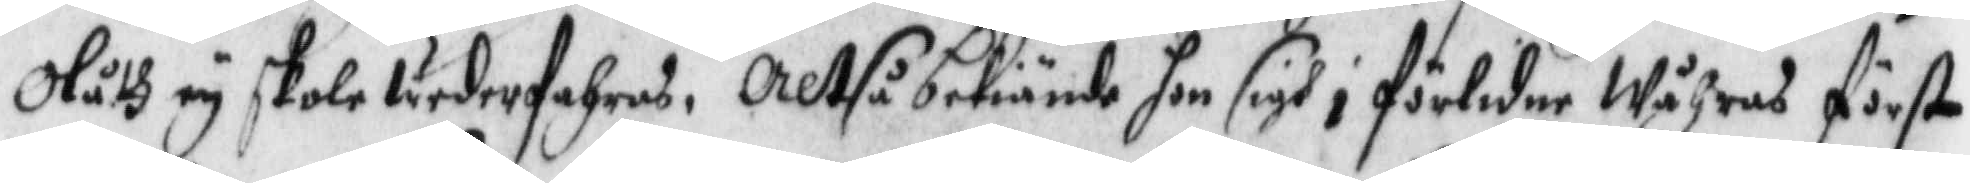Olåth ey skola wederfahras, Altså bekiände hon sigh i förledne Wåhrens först
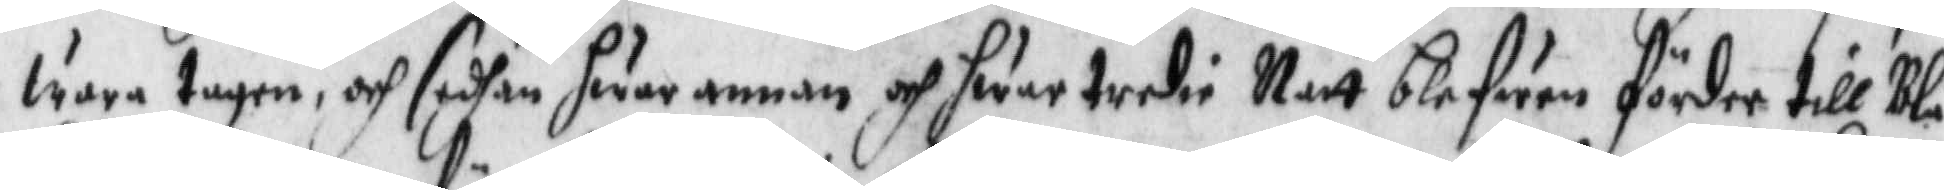wara tagen och sedhan hwar annan och hwar tredie Natt blefwen förder till Blå¬
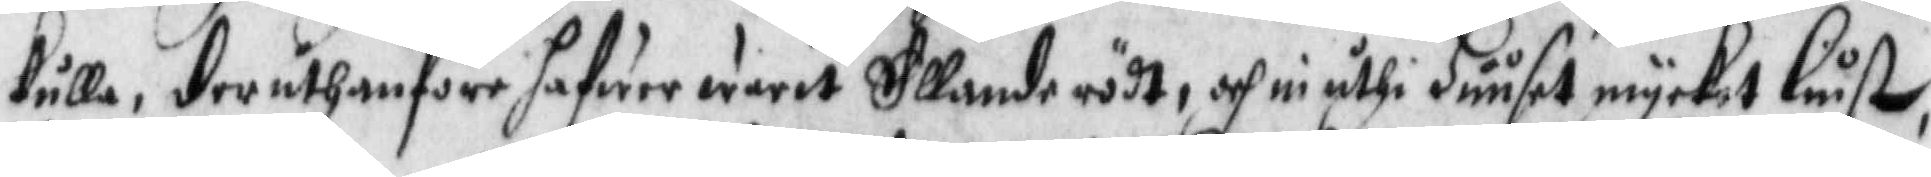kulla, deruthanföre hafwer warit Ellande rödt, och nu uthi Huuset mycket liust,
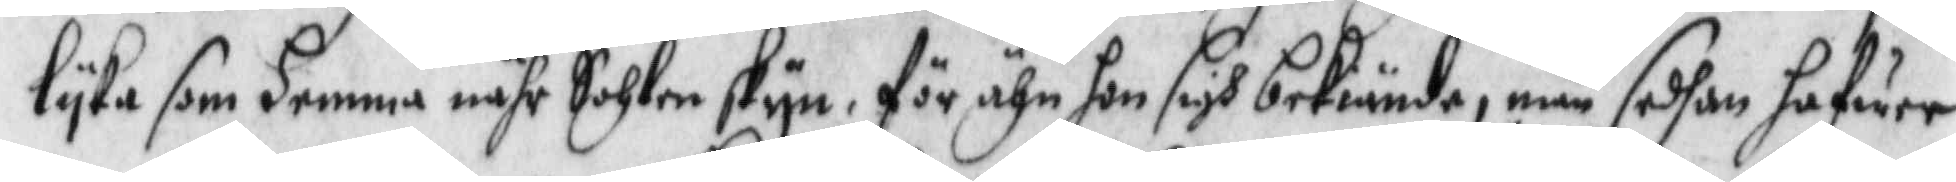lyka som hemma nähr Sohlen skyn, för ähn hon sigh bekiände, när sedhan hafwer
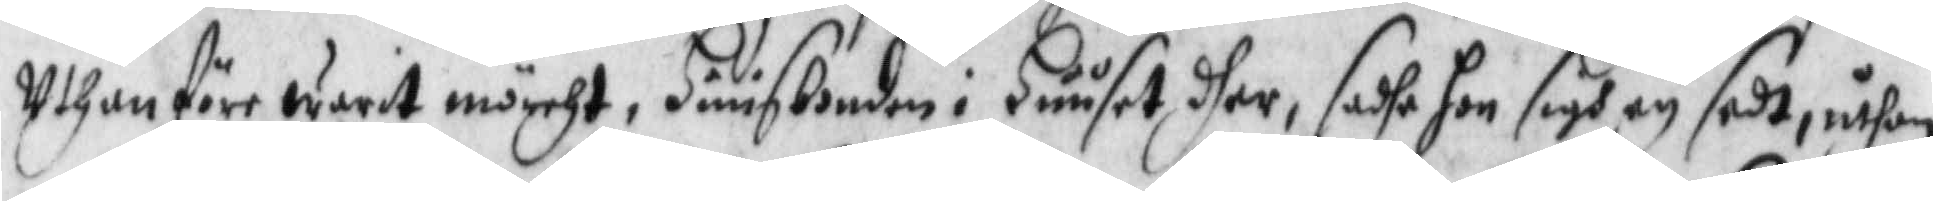Uthan före warit mörcht, Huusbonden i Huuset dher, sadhe hon sigh ey sedt, uthan
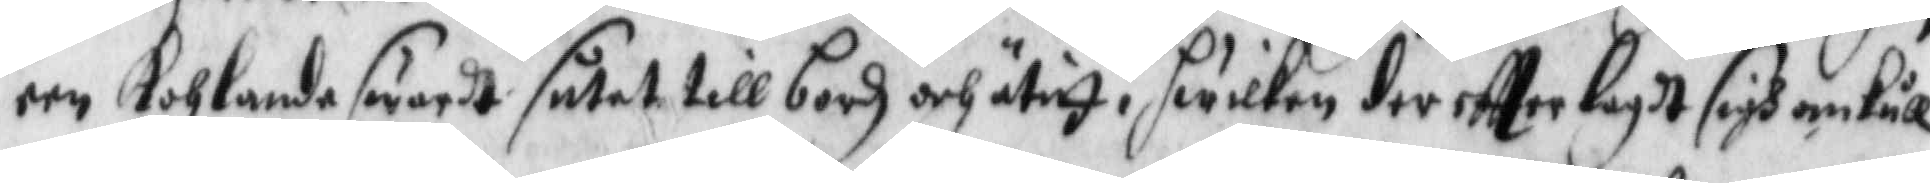een tohlanda swart sutet til bordz och ätit, hwilken der eftter lagdt sigh omkull
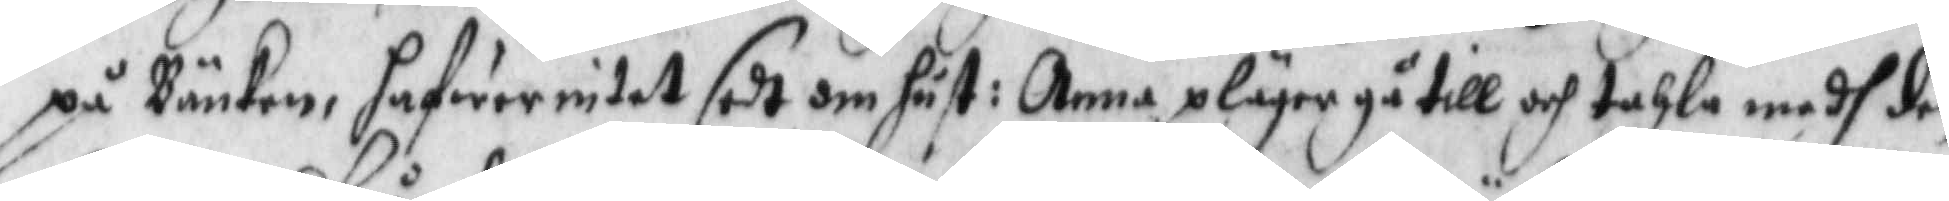på Bänken, hafwer intet sedt om hust: Anna pläger gå till och tahla medh den
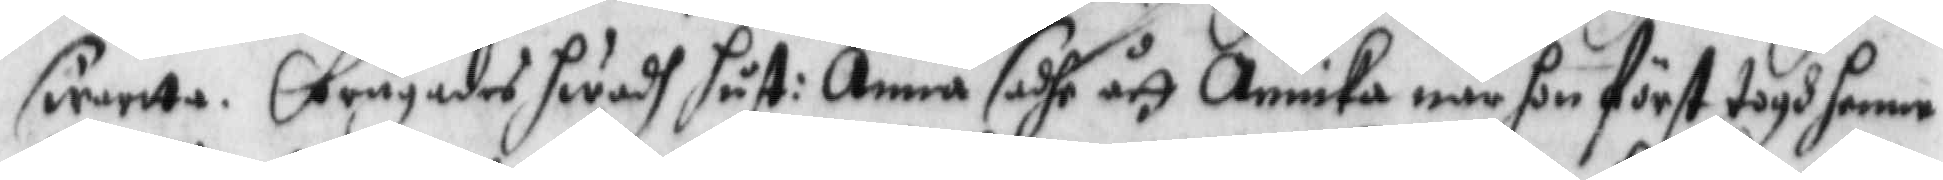swarte. frågades hwadh hust: Anna sadhe ått Annika när hon först togh henne,
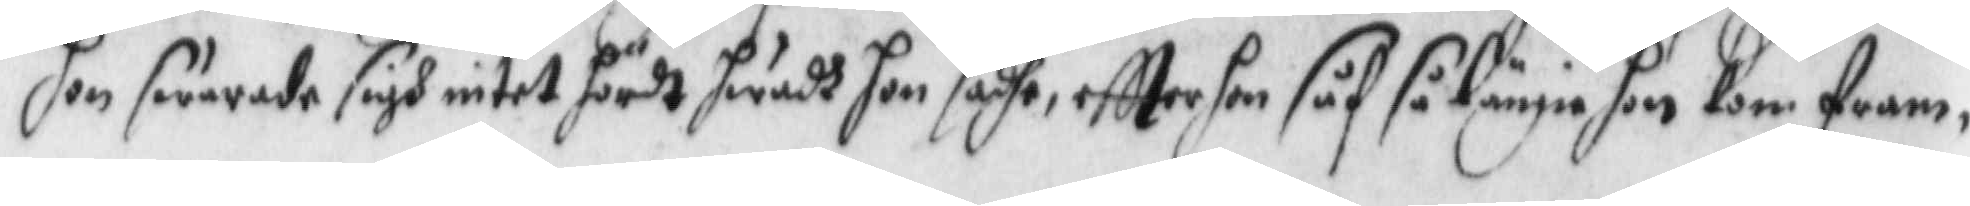hon swarade sigh intet hördt hwadh hon sadhe, eftter hon såf så länge hon kom fram, 
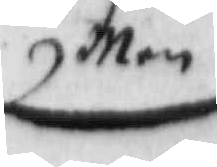Men
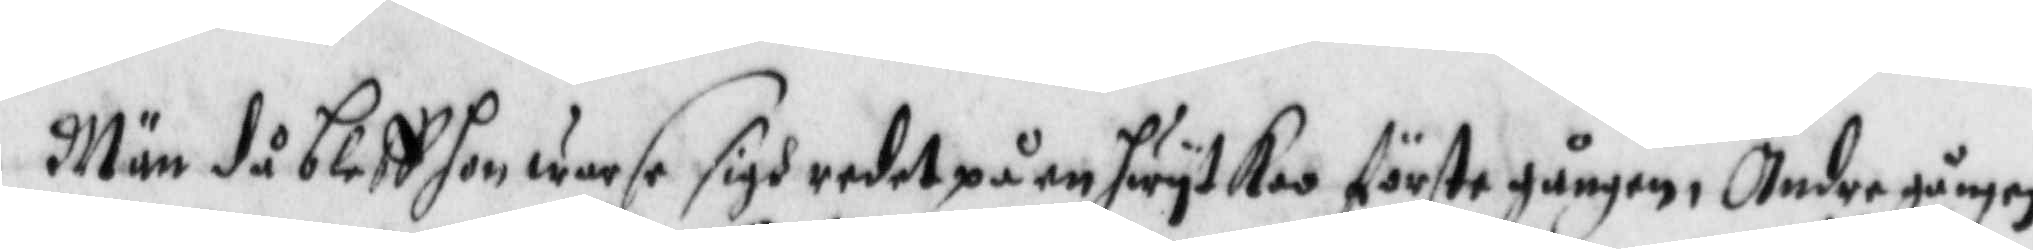Män då bleff hon warse sigh redet på en hwyt Koo förste gången, Andre gången
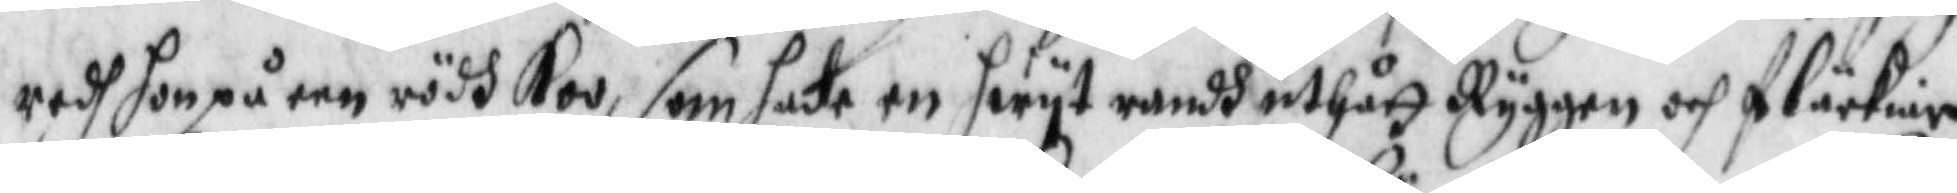redh hon på een rödh Koo, som hade en hwyt randh uthått Ryggen och fläckier
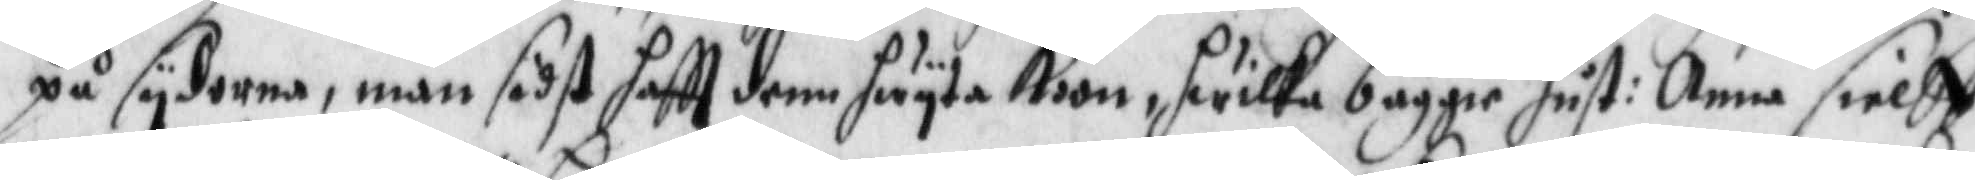på sydorna, män sidst haftt denn hwyta Koon, hwilka bäggie hust: Anna sielff
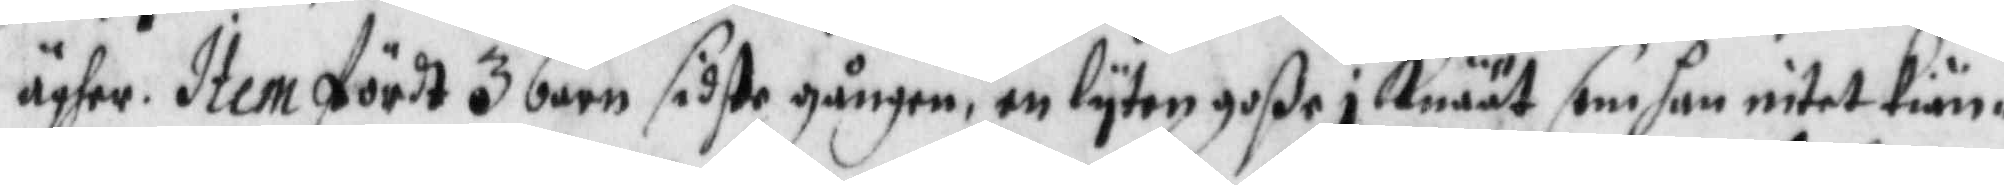ägher. Item fördt 3 barn sidste gången en lyten goße i Knäät som hon intet kiän¬
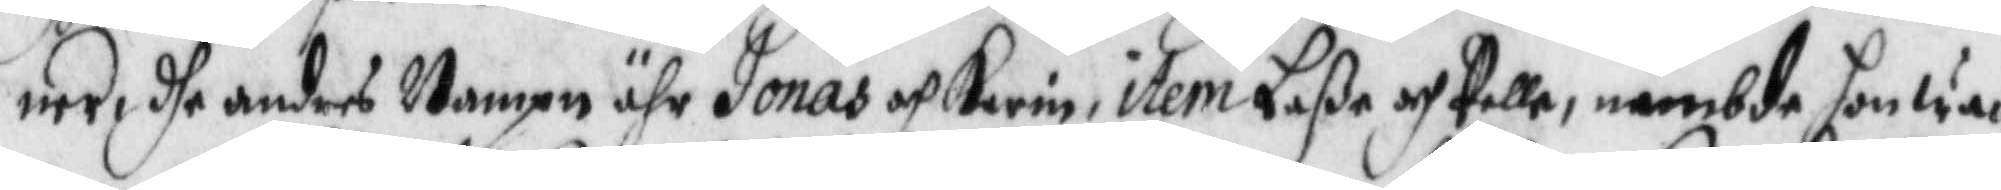ner dhe andres Nampn ähr Jonas och Karin, item Laße och Pelle, nämbde hon wa¬
